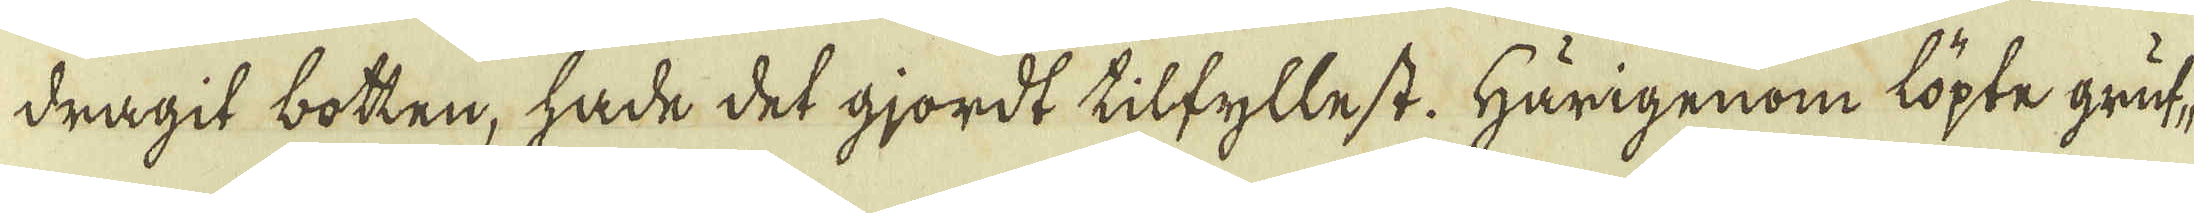dragit botten, hade det gjordt tilfyllest. Härigenom löpte gruf-
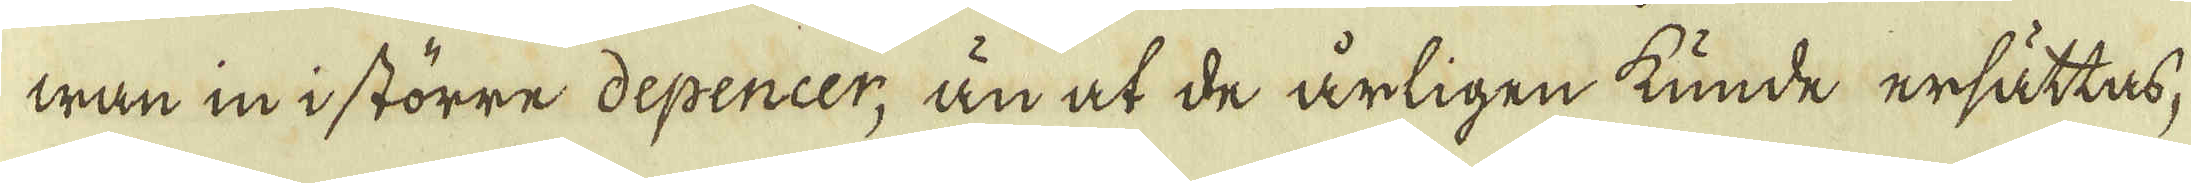wan in i större depencer, än at de årligen kunde ersättas,
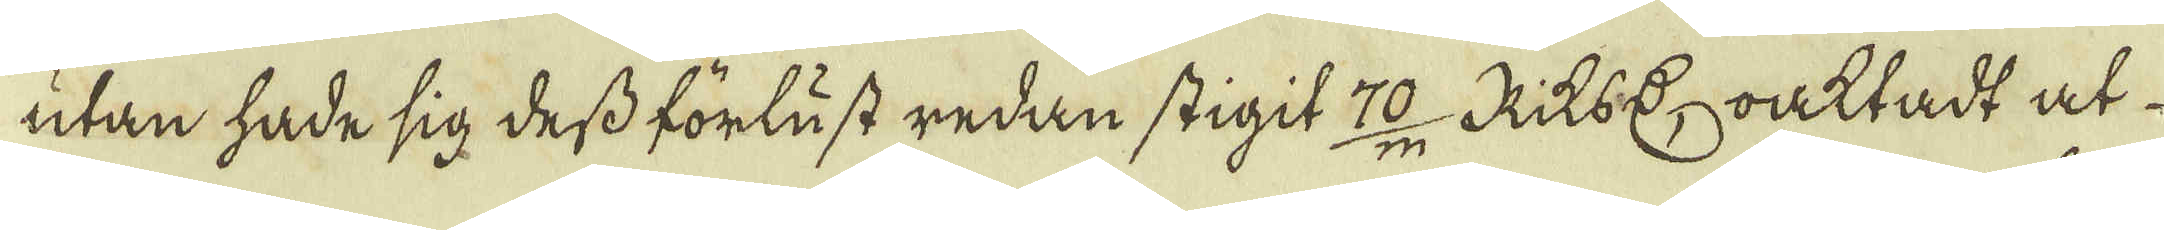utan hade sig dess förlust redan stigit 70/m RiksDr oaktadt at
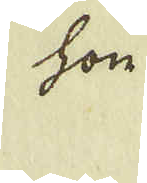hon
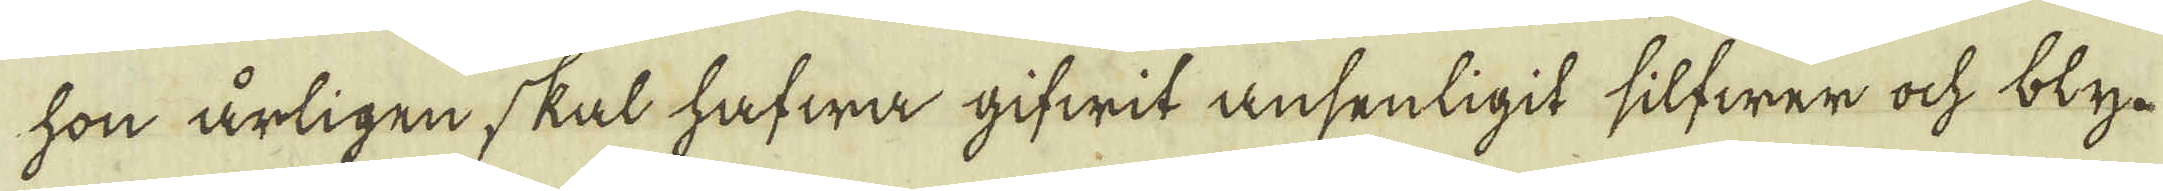hon årligen skal hafwa gifwit ansenligit silfwer ock bly.
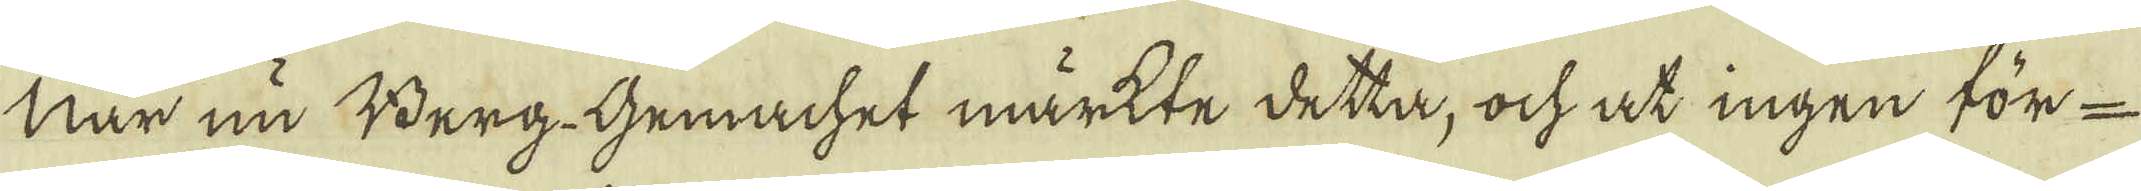När nu Berg-Gemachet märkte detta, ock at ingen för-
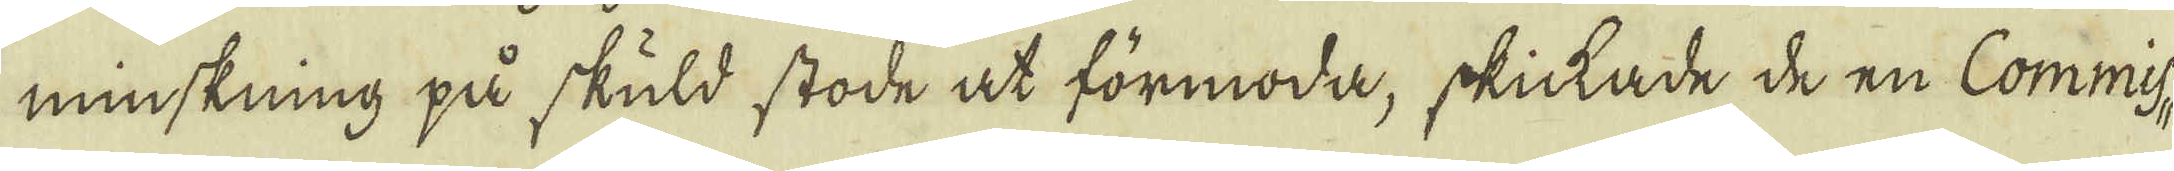minskning på skuld stode at förmoda, skickade de en Commis-
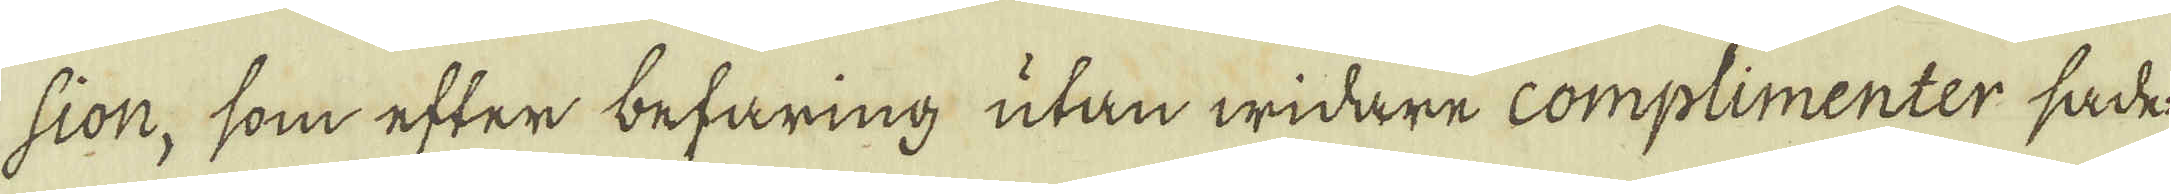sion, som efter befaring utan widare complimenter sade
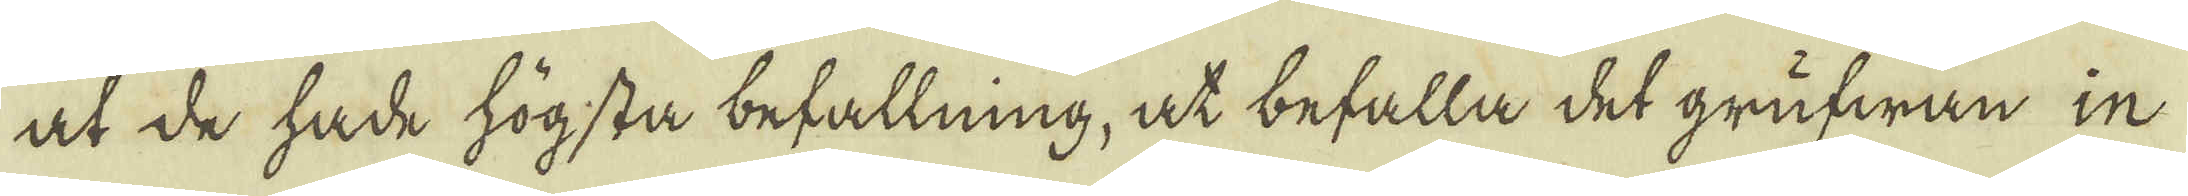at de hade högsta befallning, at befalla det grufwan in
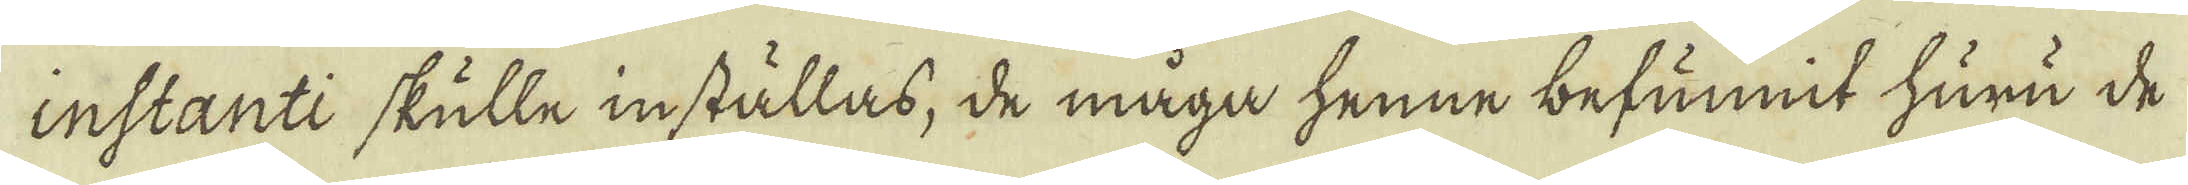instanti skulle inställas, de måga henne befunnit huru de
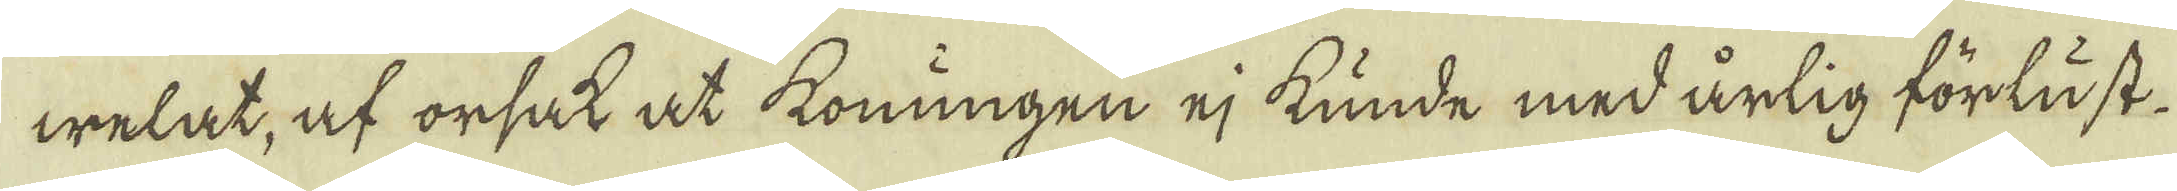welat, af orsak at konungen ej kunde med årlig förlust
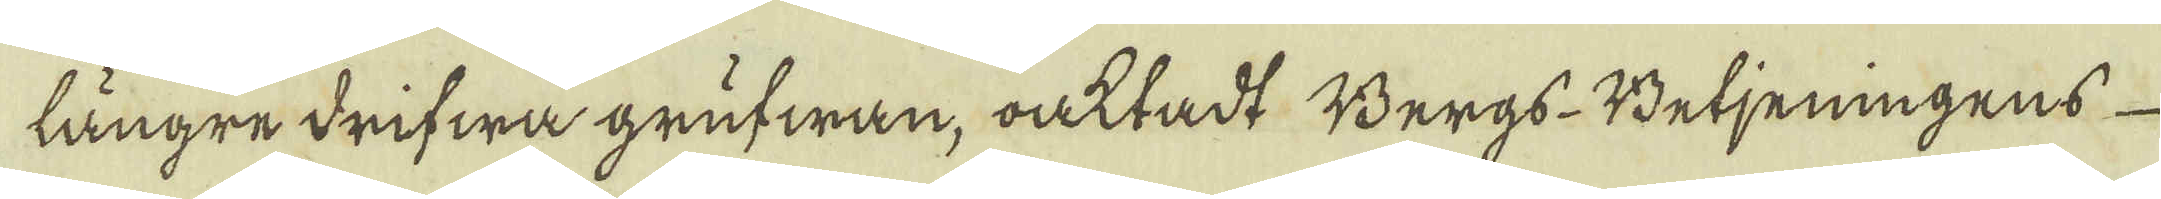längre drifwa grufwan, oaktadt Bergs-Betjeningens
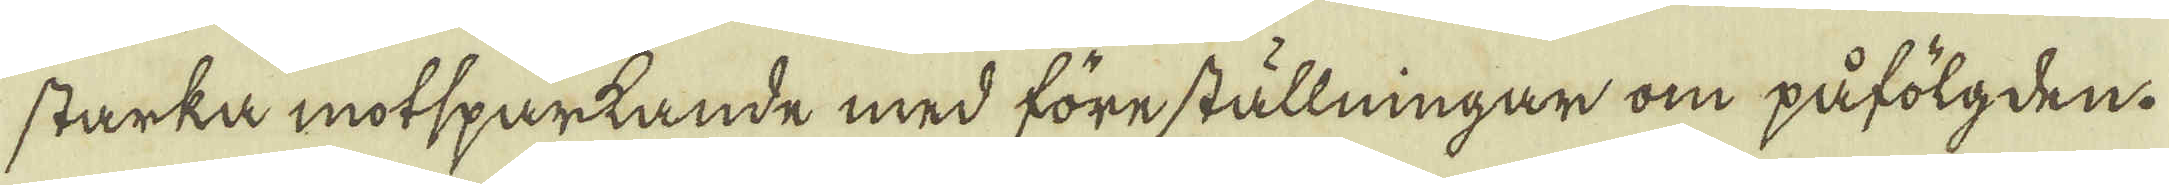starka motsparkande med föreställningar om påfölgden.
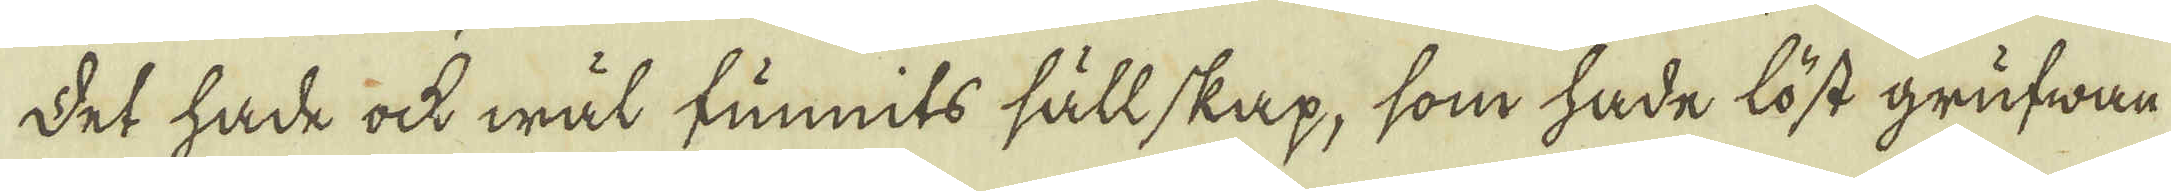Det hade ock wäl funnits sällskap, som hade löst grufwan
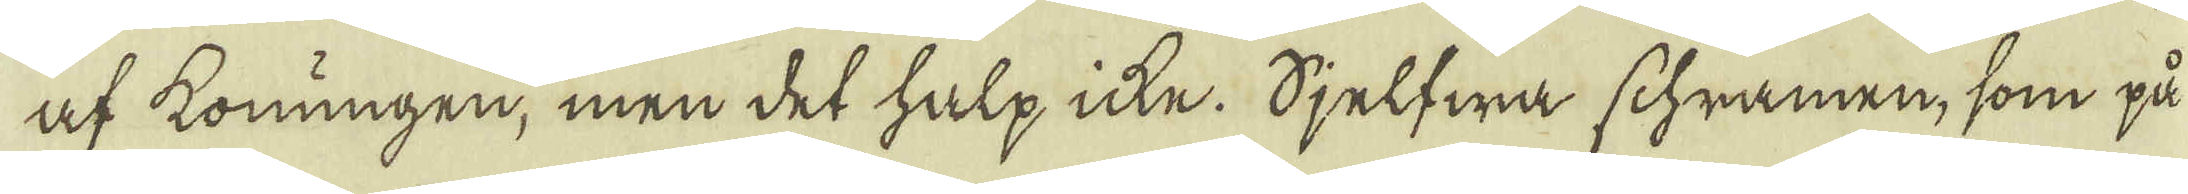af konungen, men det halp icke. Sjelfwa schramen, som på
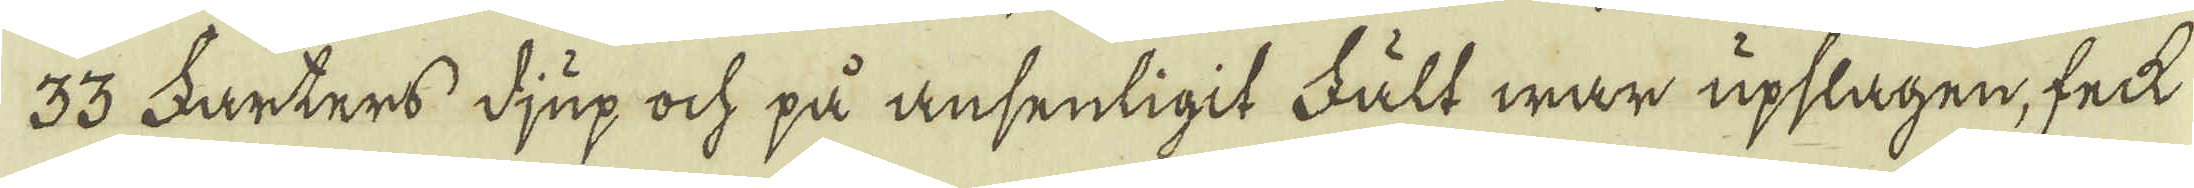33 Farters djup och på ansenligit Fält war upslagen, feck
